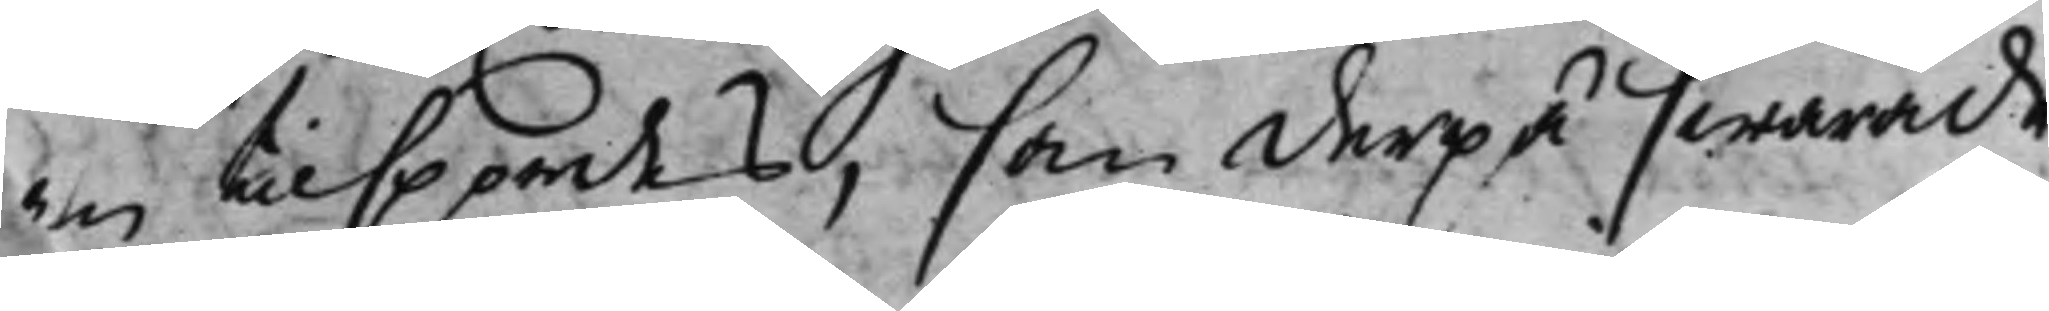m tillspordes, som derpå swarade
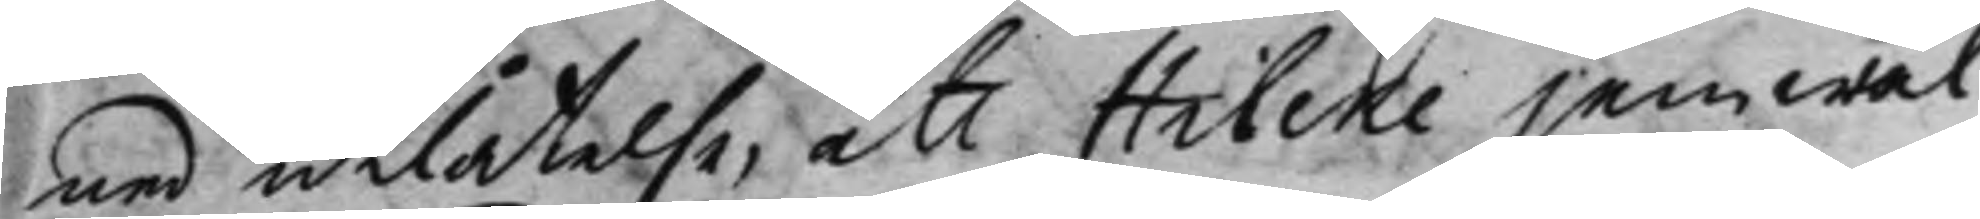med utlåtelse, att Hilcke jemwäl
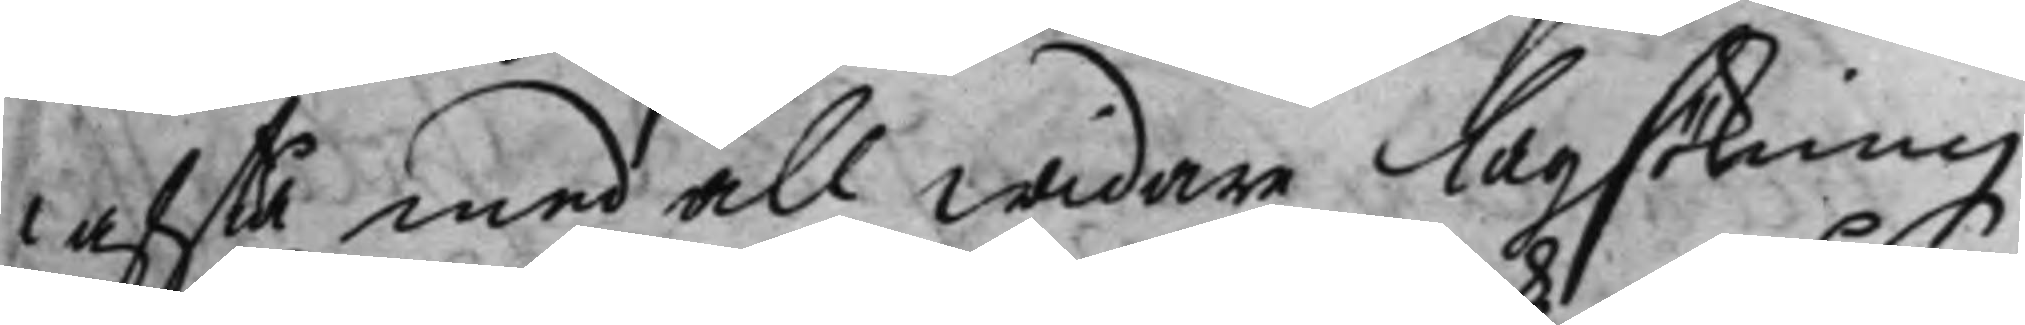afstå, med all widare Lagsökning
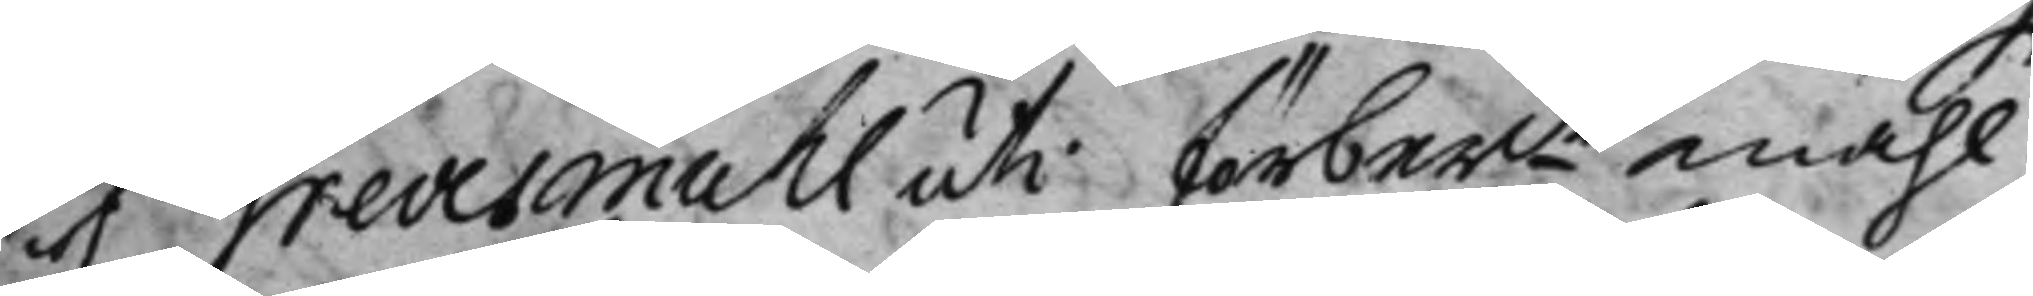af Grevesmuhl uti förbemte måhl.
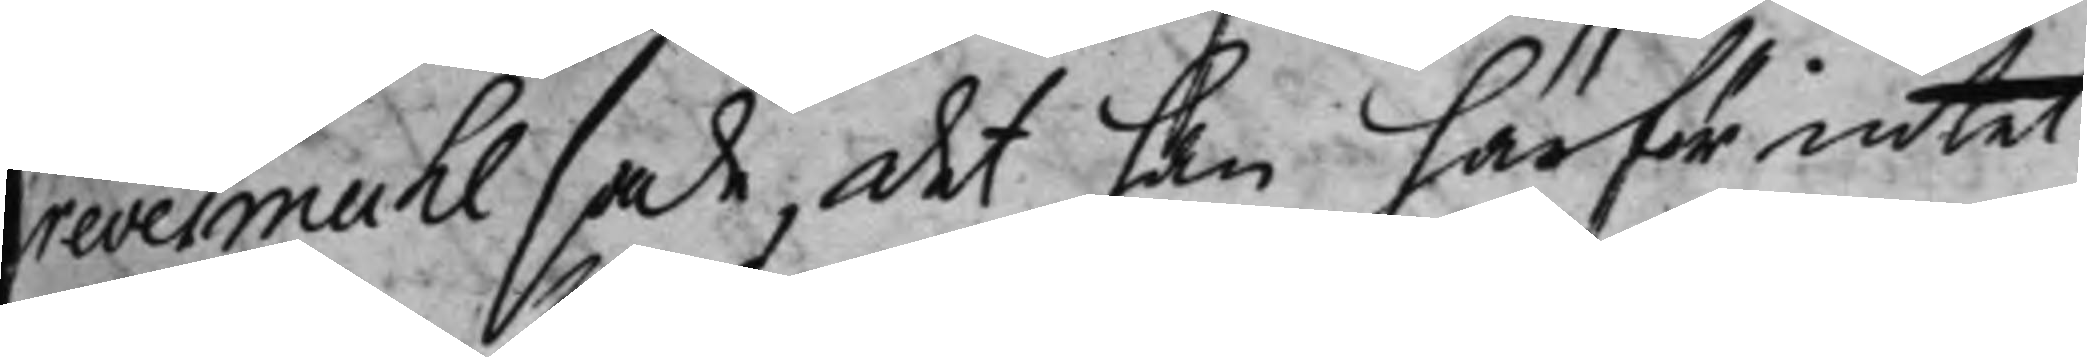Grevesmuhl sade, det han härför intet
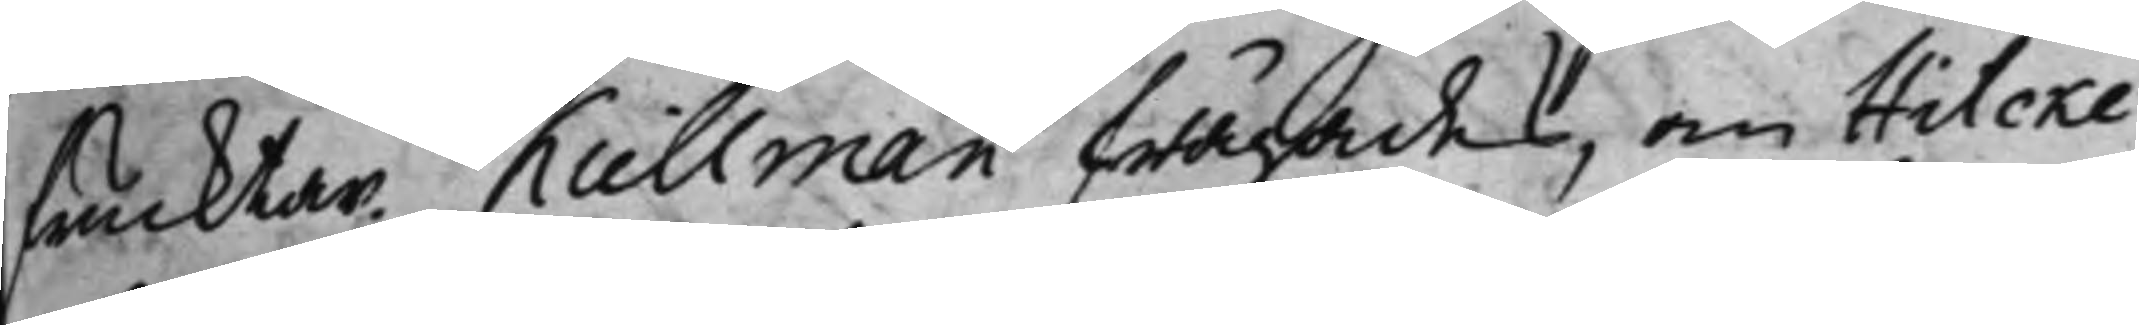frucktar. Kiellman frågades, om Hilcke
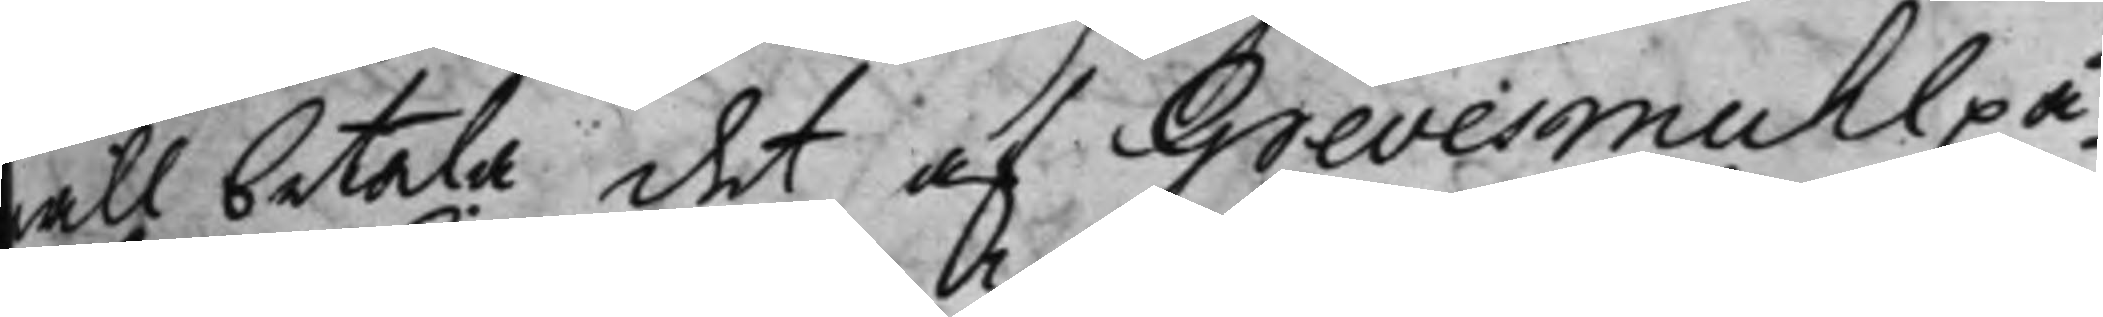will betala, det af Grevesmuhl på¬
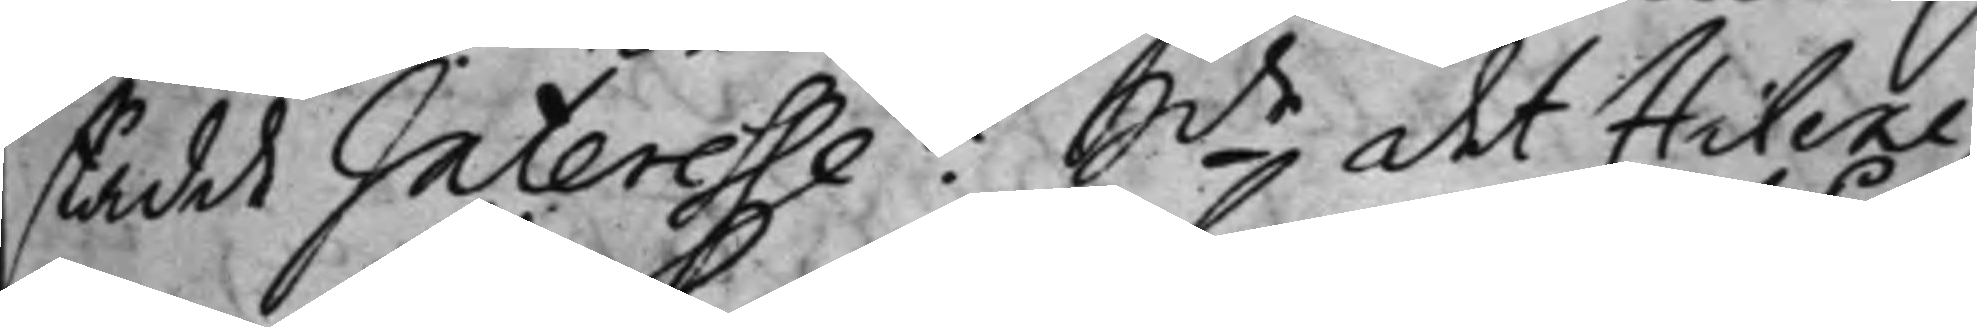stådde Interesse? Sdealt Hilcke
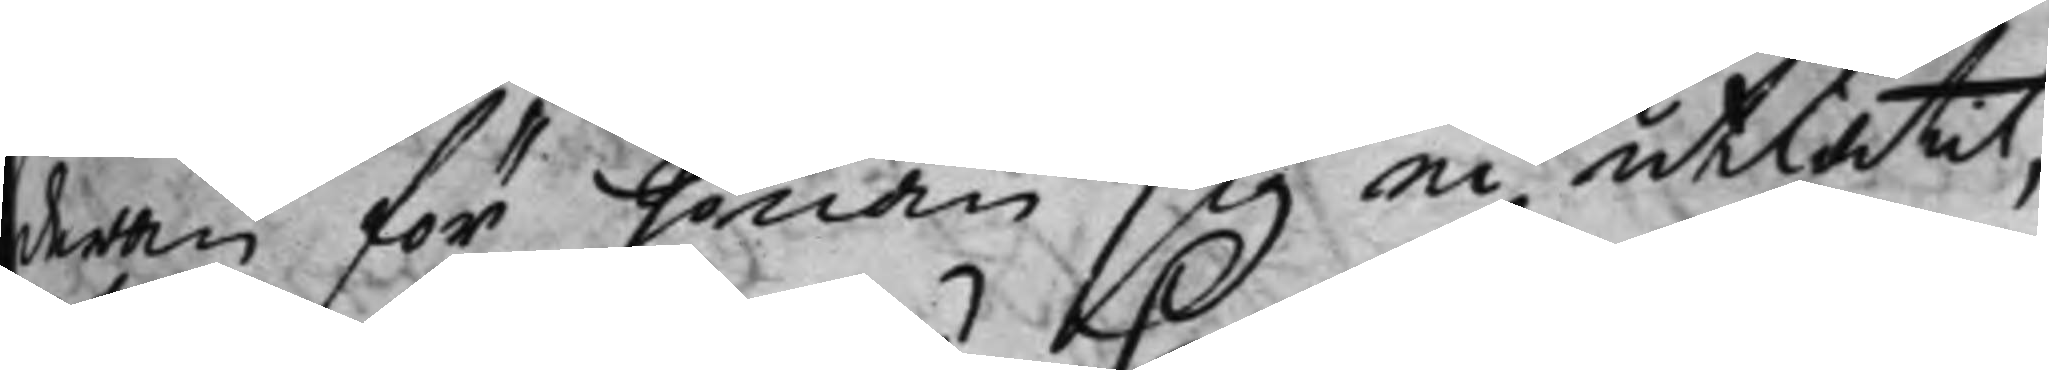derom för honom sig ei utlåtit,
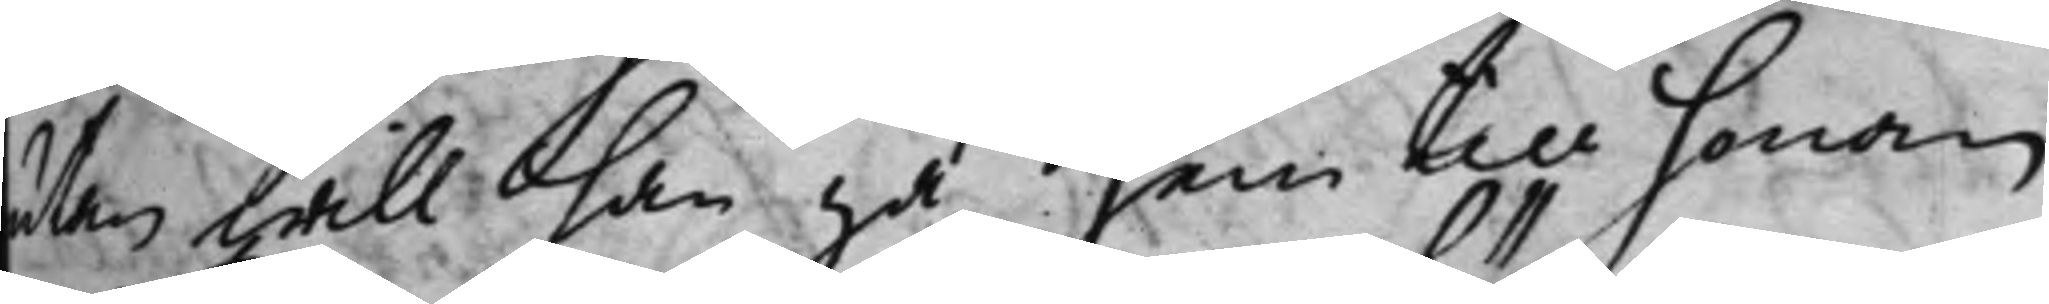utan hwill han gå hem till honom
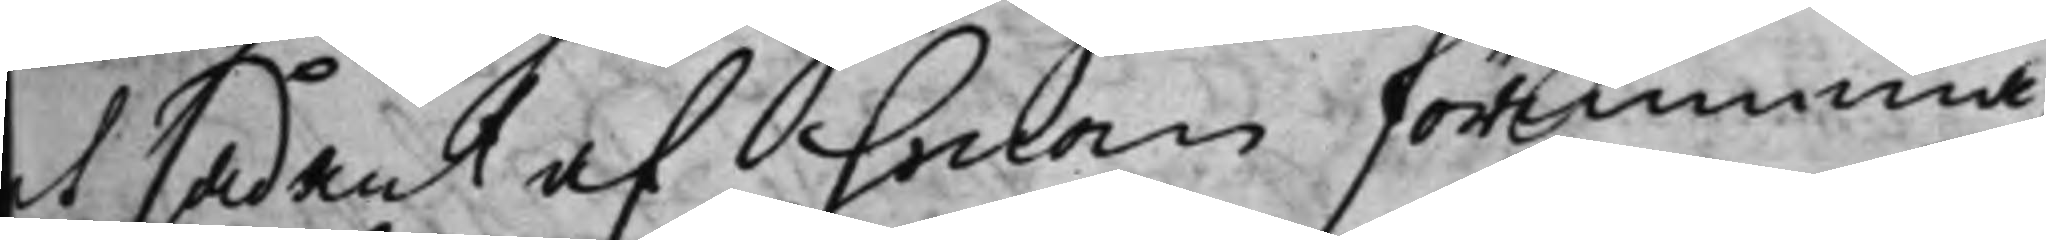at sådant af honom förnimma,
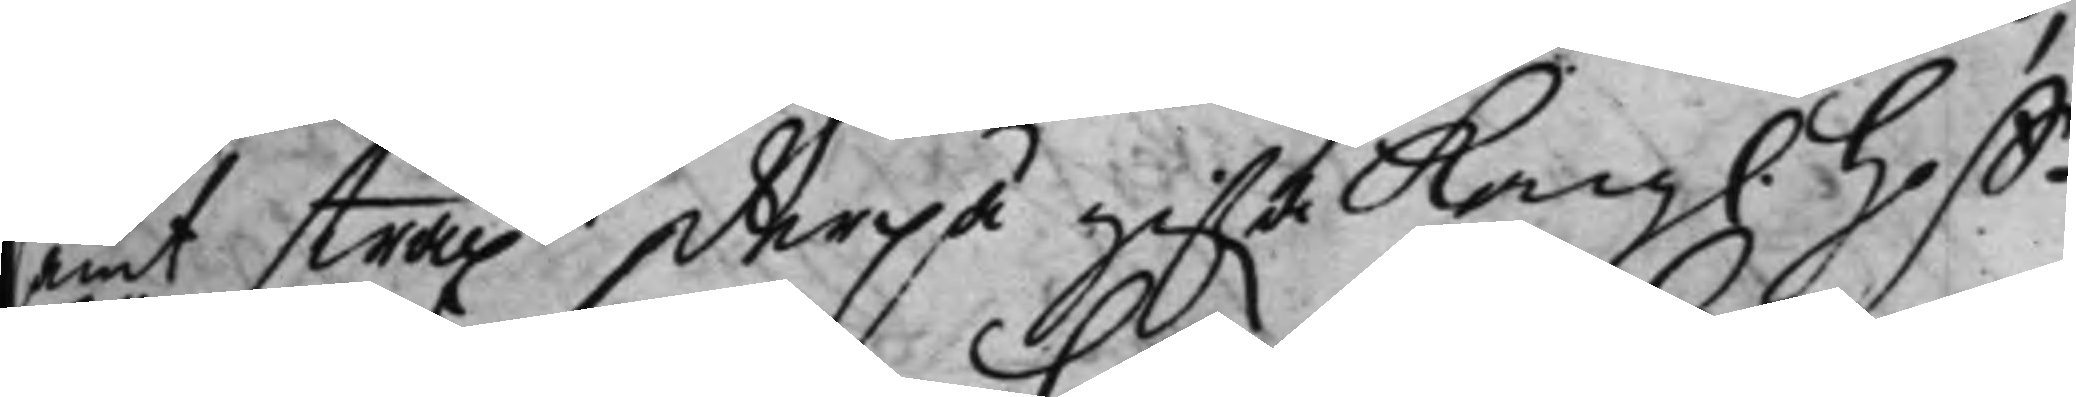samt straxt derpå gifwa Kong. Hoff¬
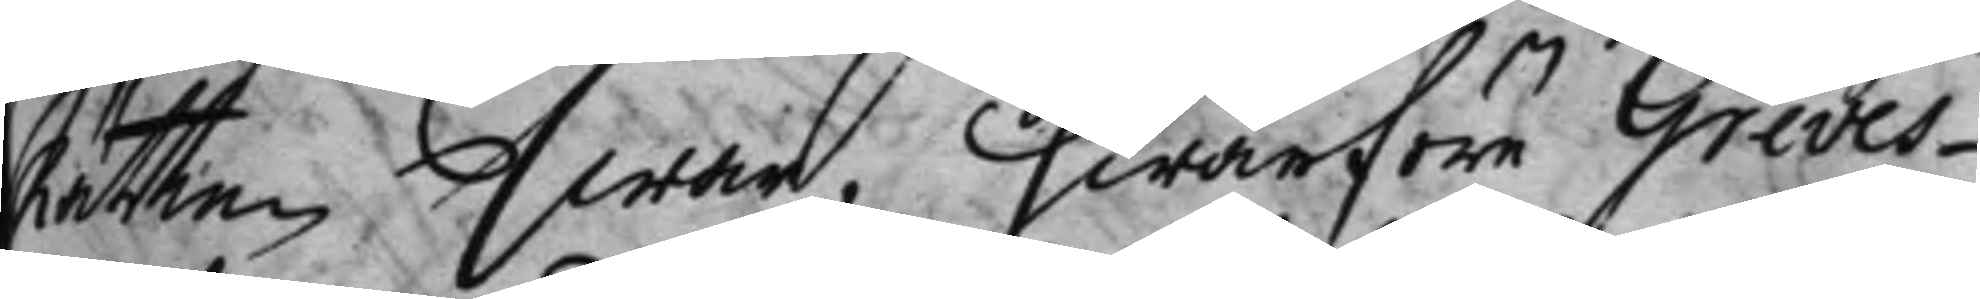Rätten swar, Hwarföre Greves¬
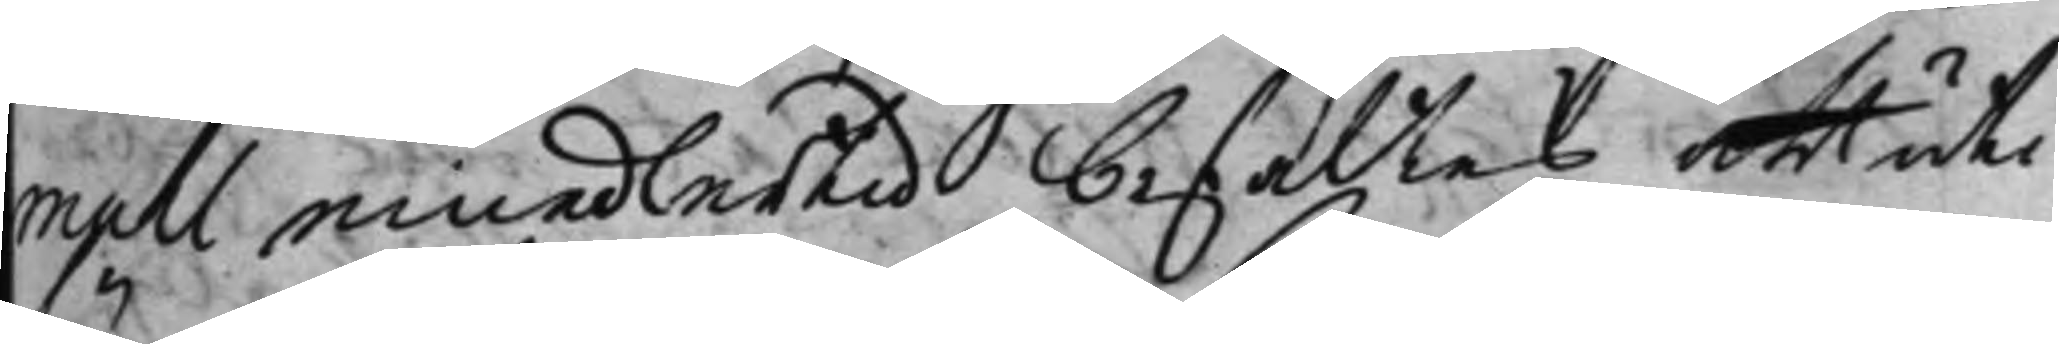muhl, emedlertid befaltes att uti
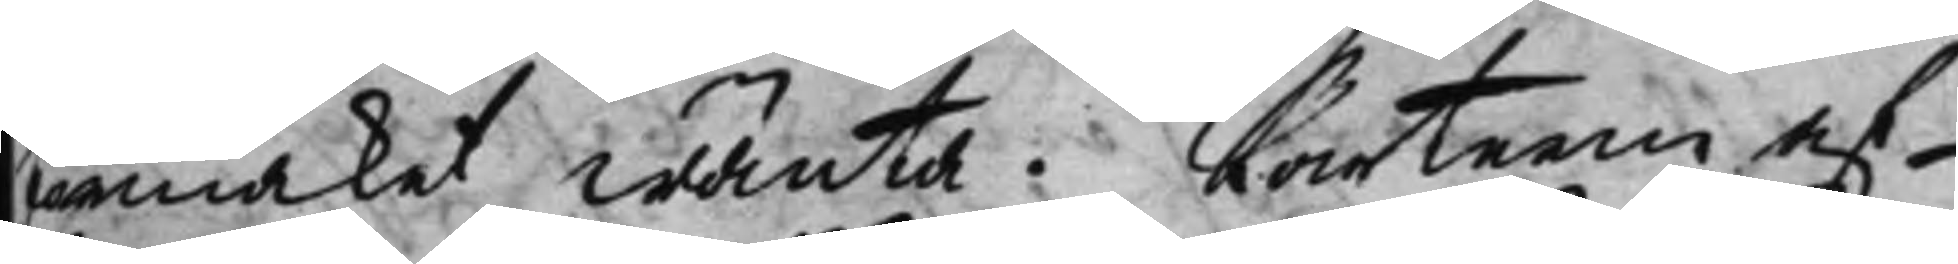förmaket wänta. Parterne af¬
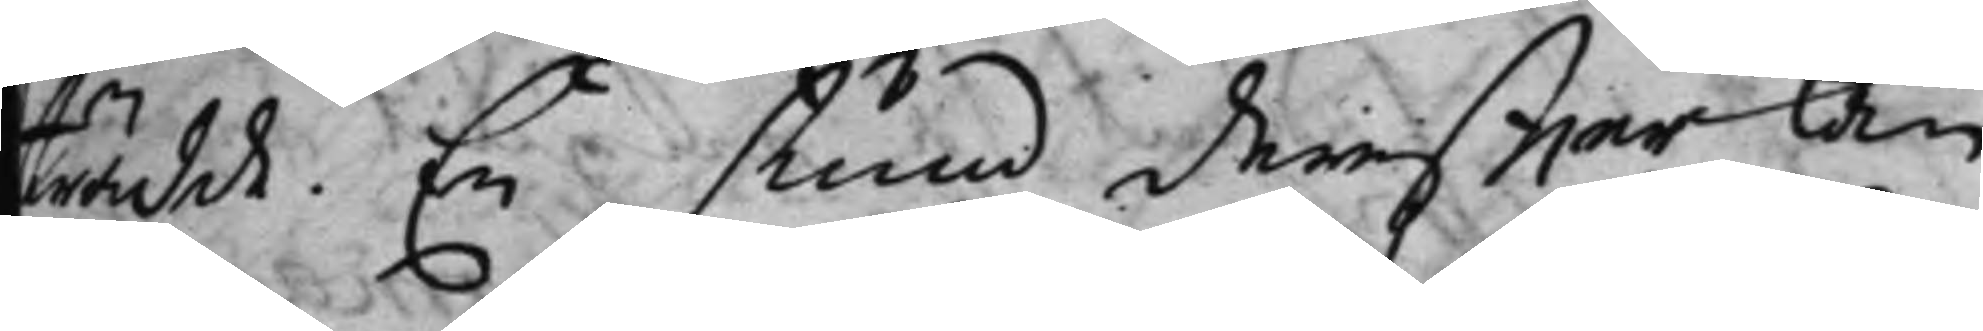trädde. En stund dereffter kom
